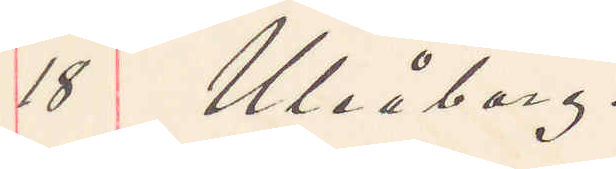18 Uleåborg.
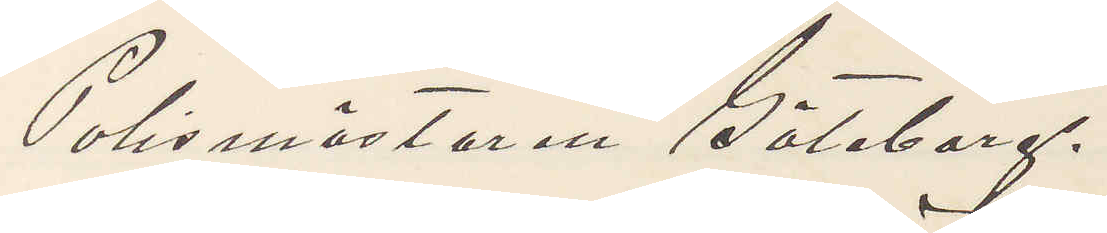Polismästaren Göteborg.
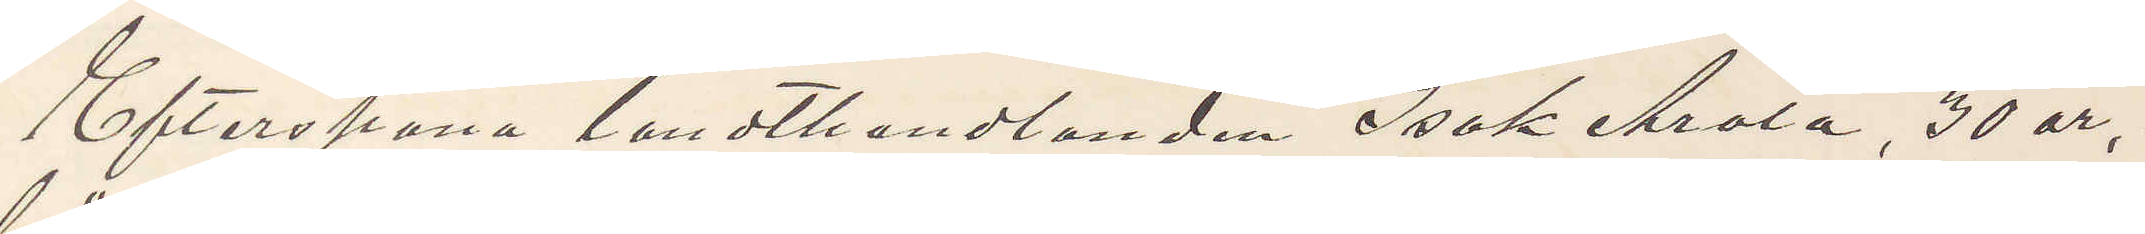Efterspana landthandlanden Isak Arola, 30 år,
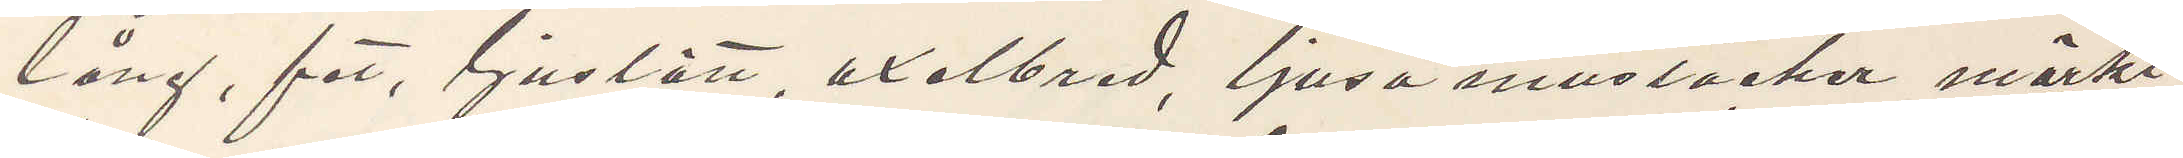lång, fet, ljuslätt, axelbred, ljusa mustacher, mörkt
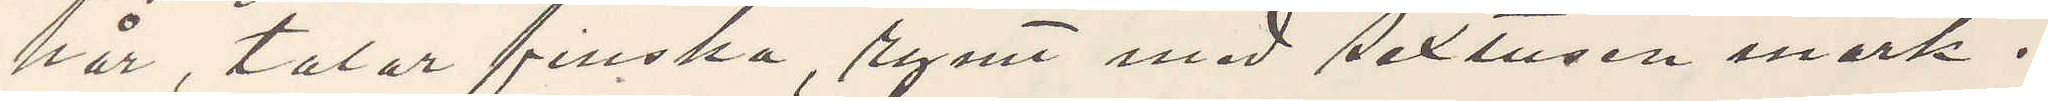hår, talar finska, rymt med sextusen mark.
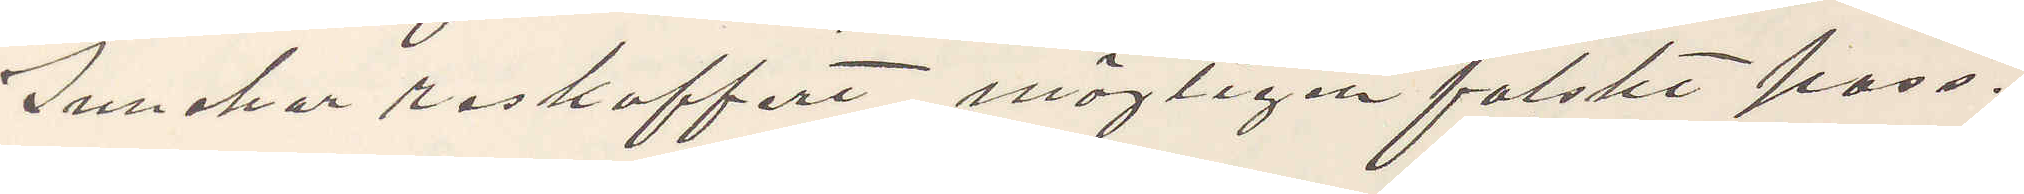Innehar reskoffert, möjligen falskt pass.
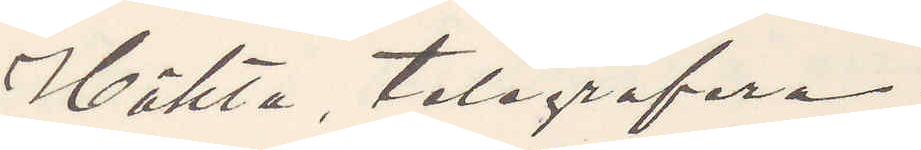Häkta, telegrafera.
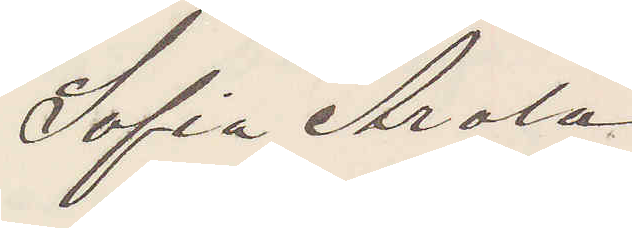Sofia Arola
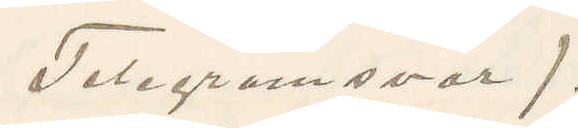(Telegramsvar).
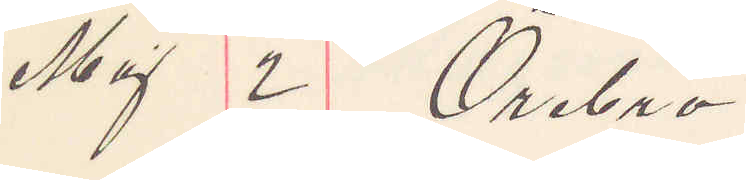Maj 2 Örebro.
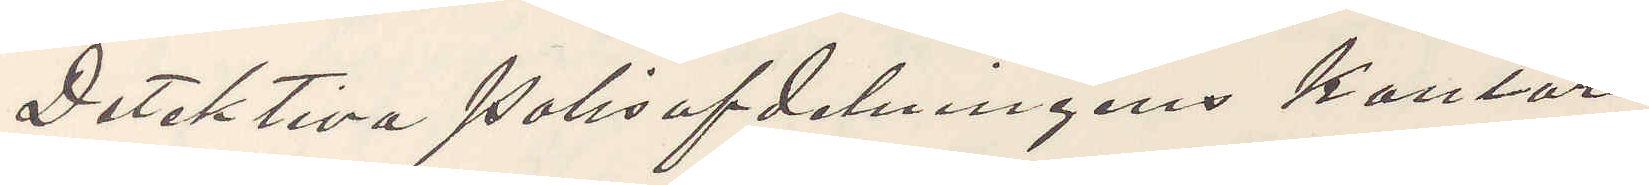Detektiva Polisafdelningens kontor
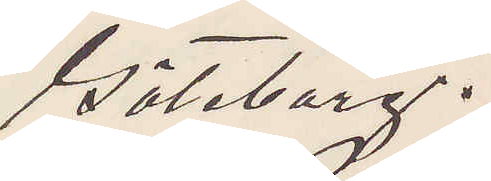Göteborg.
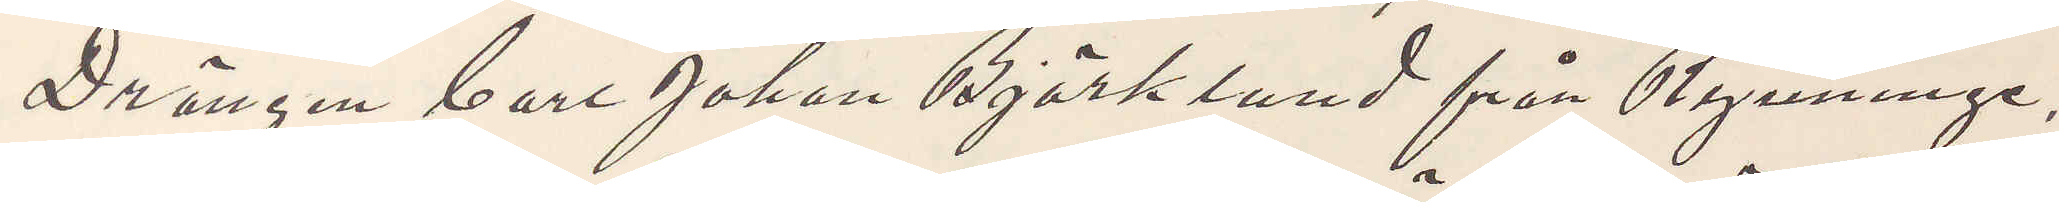Drängen Carl Johan Björklund från Rynninge,
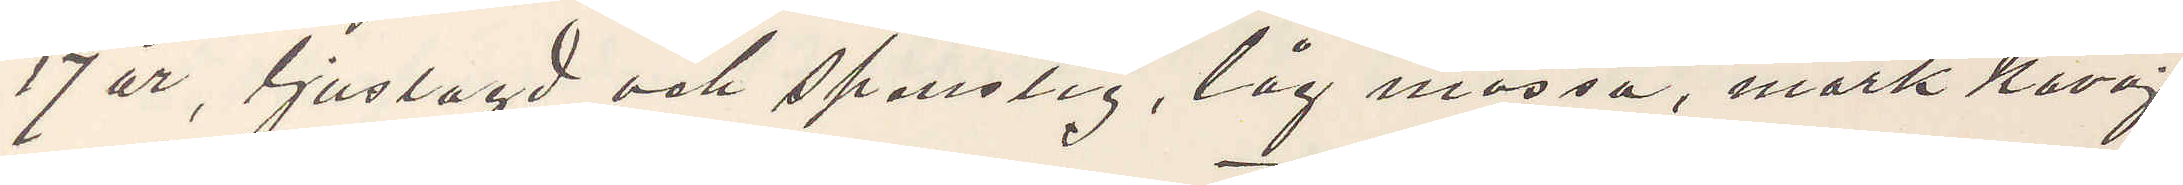17 år, ljuslagd och spenslig, låg mössa, mörk kavaj,
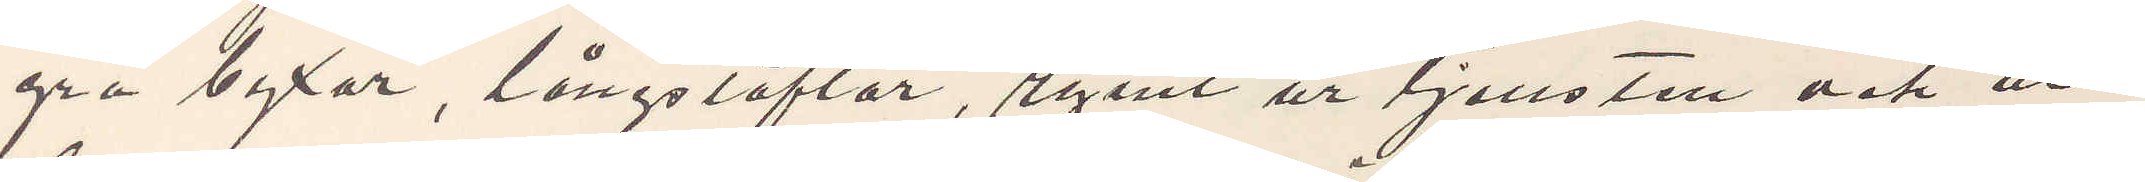grå byxor, långstöflar, rymt ur tjensten och ut¬
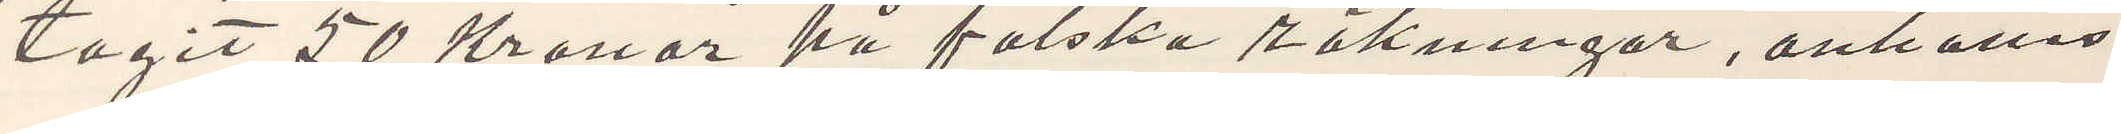tagit 50 Kronor på falska räkningar, anhålles
